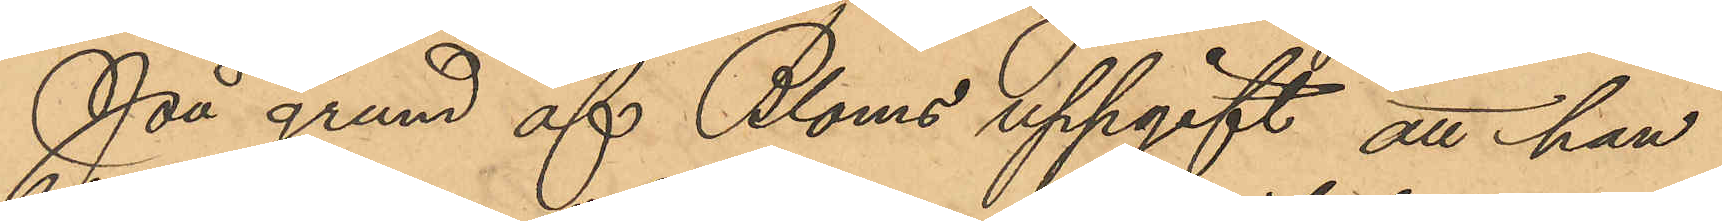På grund af Bloms uppgift att han
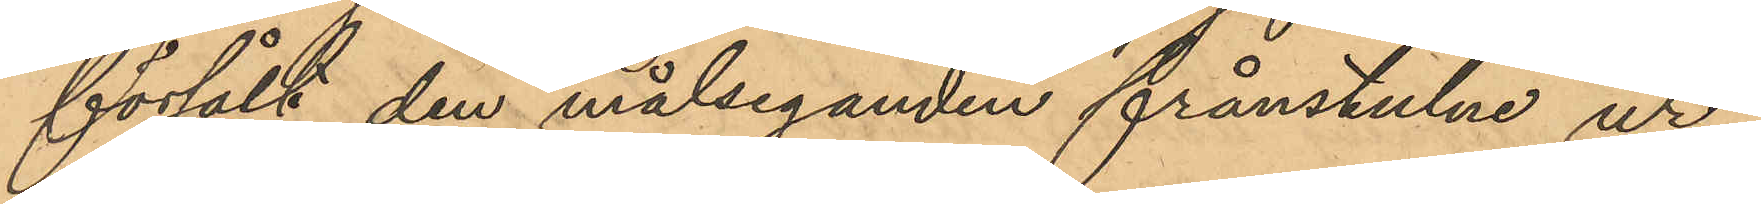försålt den målseganden frånstulne ur¬
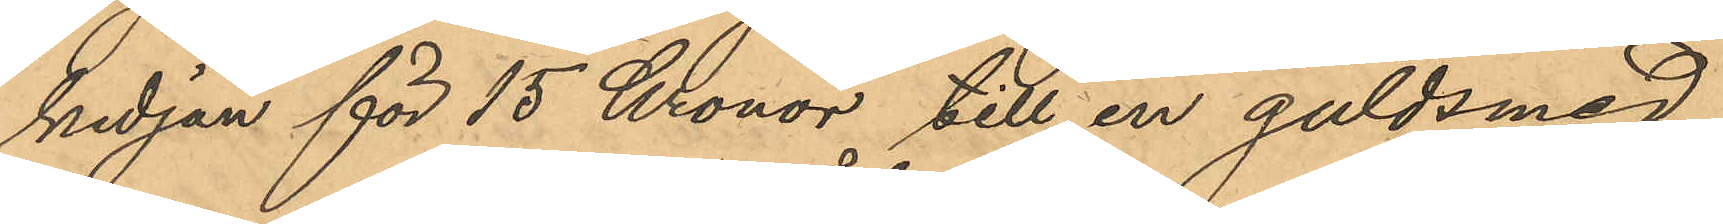kedjan för 15 Kronor till en guldsmed
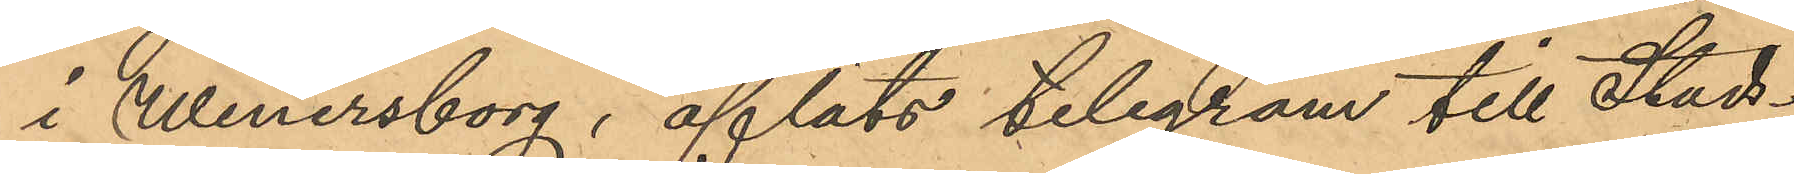i Wenersborg, afläts telegram till Stads¬
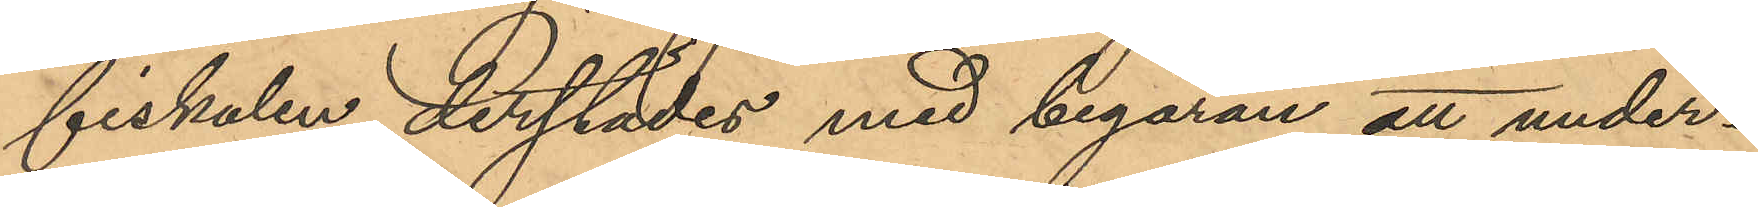fiskalen derstädes med begäran att under¬
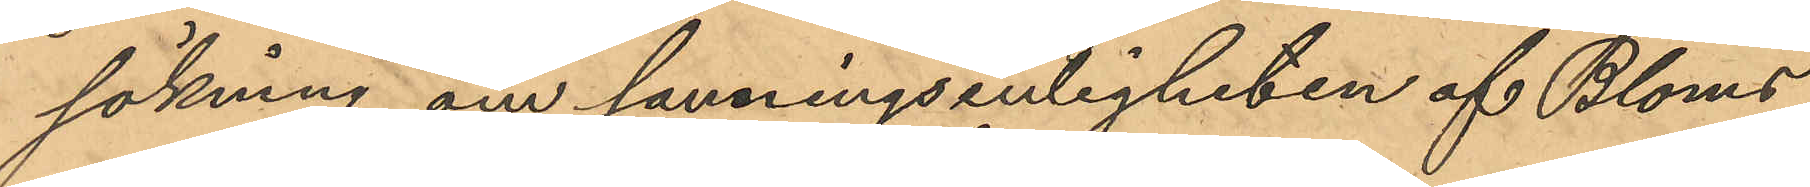sökning om sanningsenligheten af Bloms
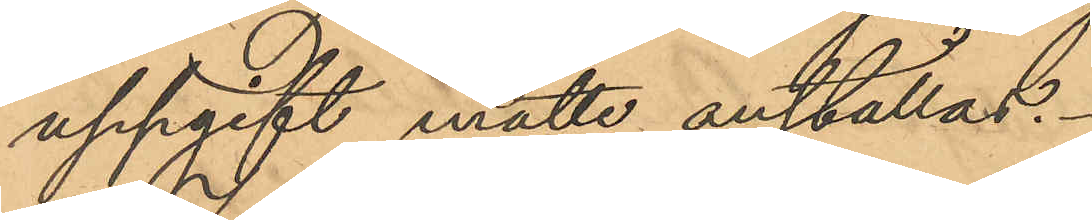uppgift måtte anställas.
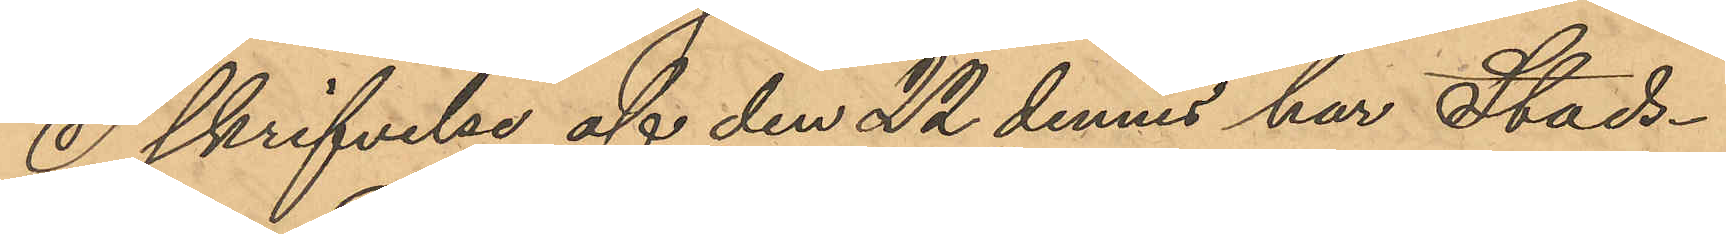I skrifvelse af den 22 dennes har Stads¬
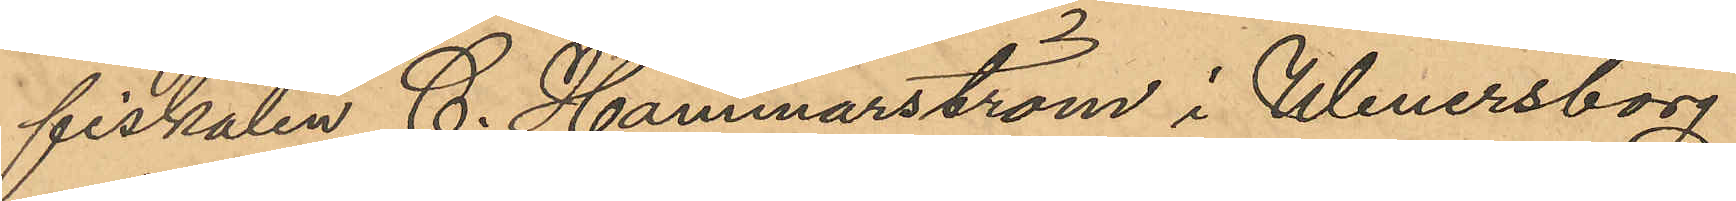fiskalen C. Hammarström i Wenersborg
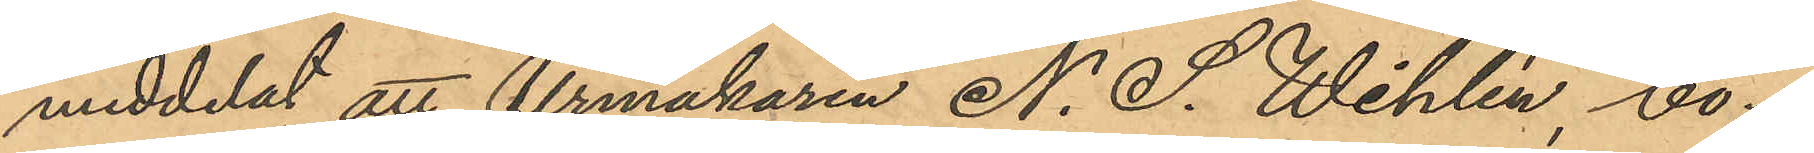meddelat att Urmakaren N. S. Wihlén, bo¬
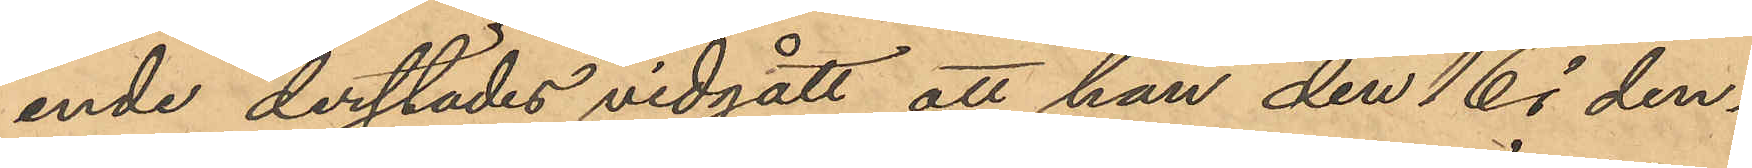ende derstädes vidgått, att han den 16 i den¬
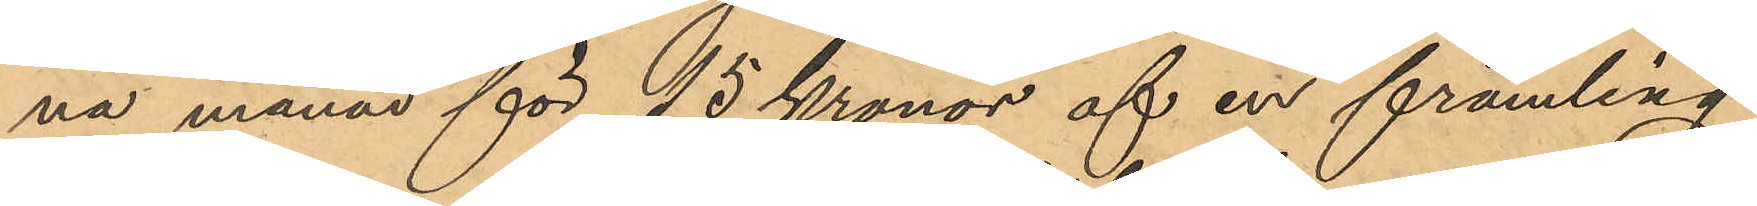na månad för 15 Kronor af en främling
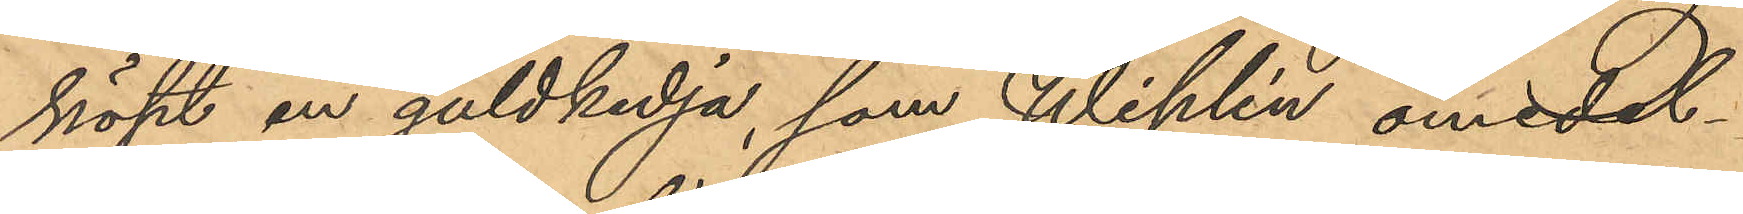köpt en guldkedja, som Wihlén omedel¬
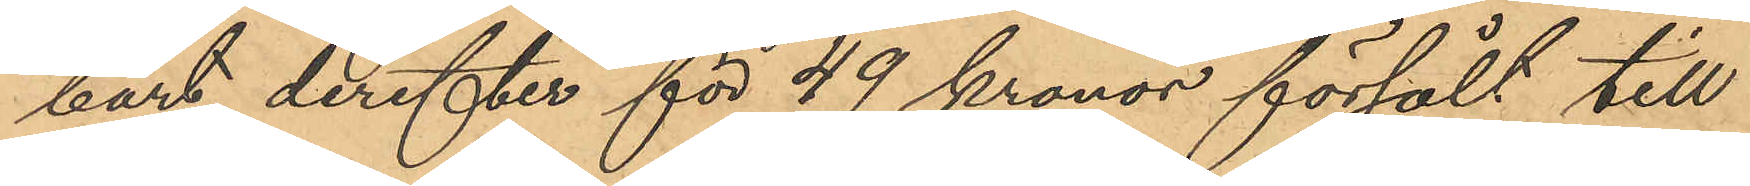bart derefter för 49 kronor försålt till
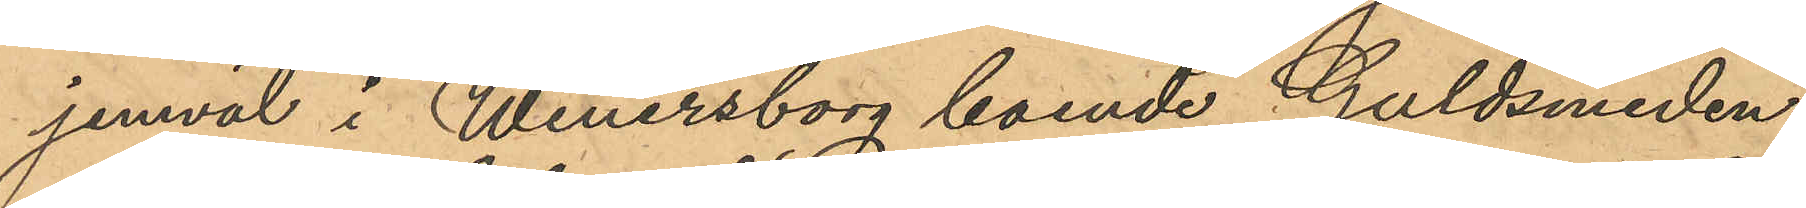jemväl i Wenersborg boende Guldsmeden
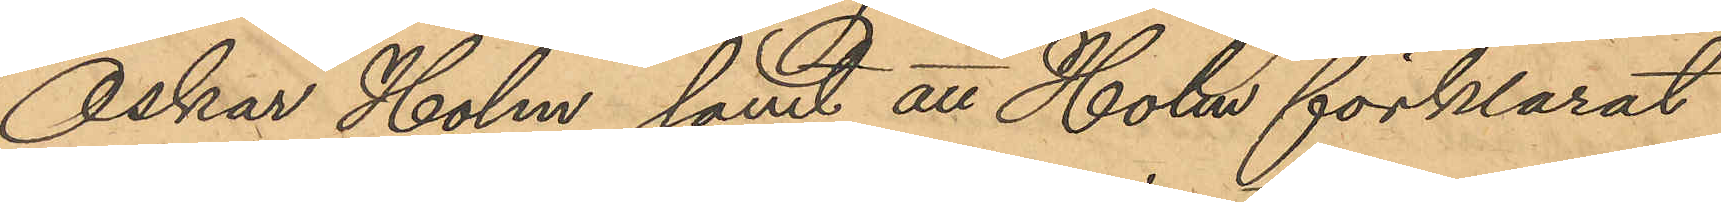Oskar Holm, samt att Holm förklarat
